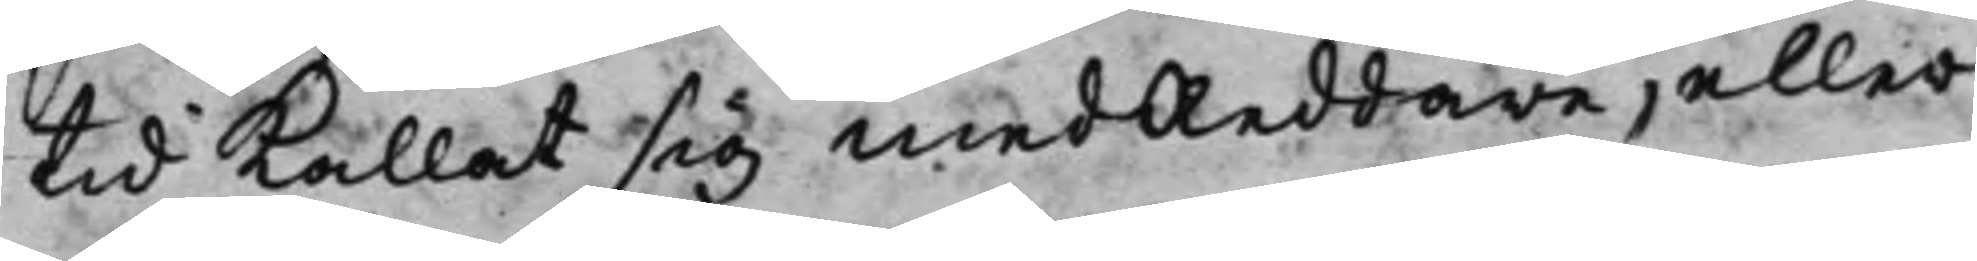tid kallat sig medReddare, eller
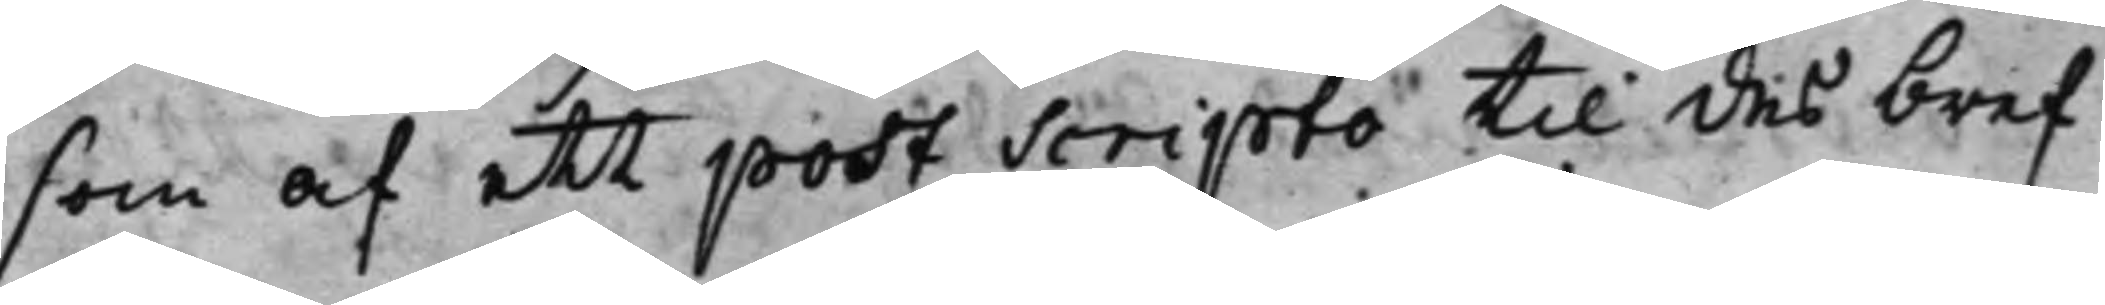som af ett post Scripto til des bref
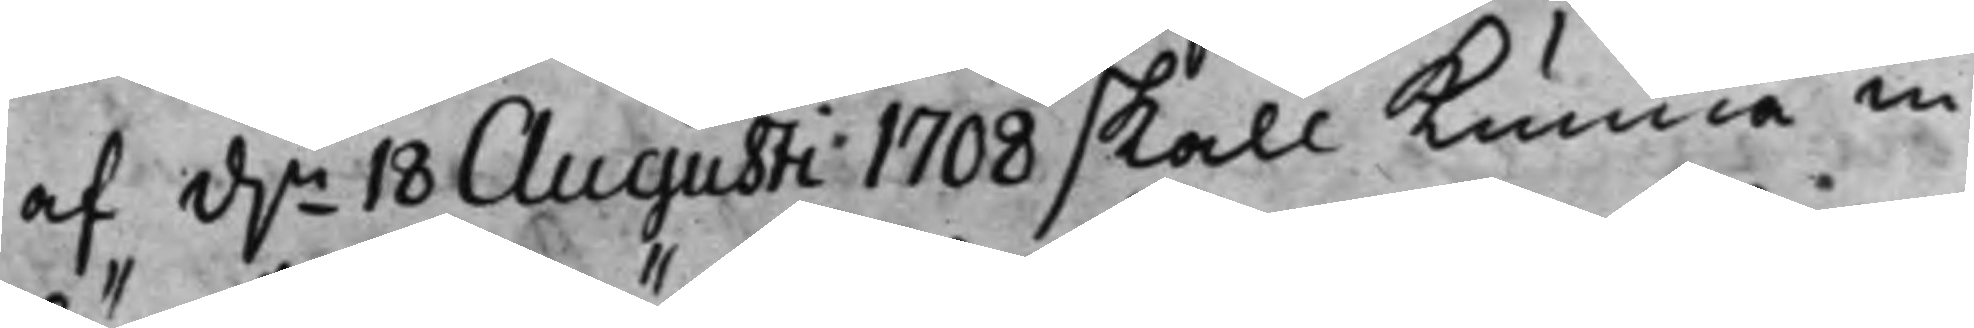af d.n 18 Augusti 1708 skall kunna in
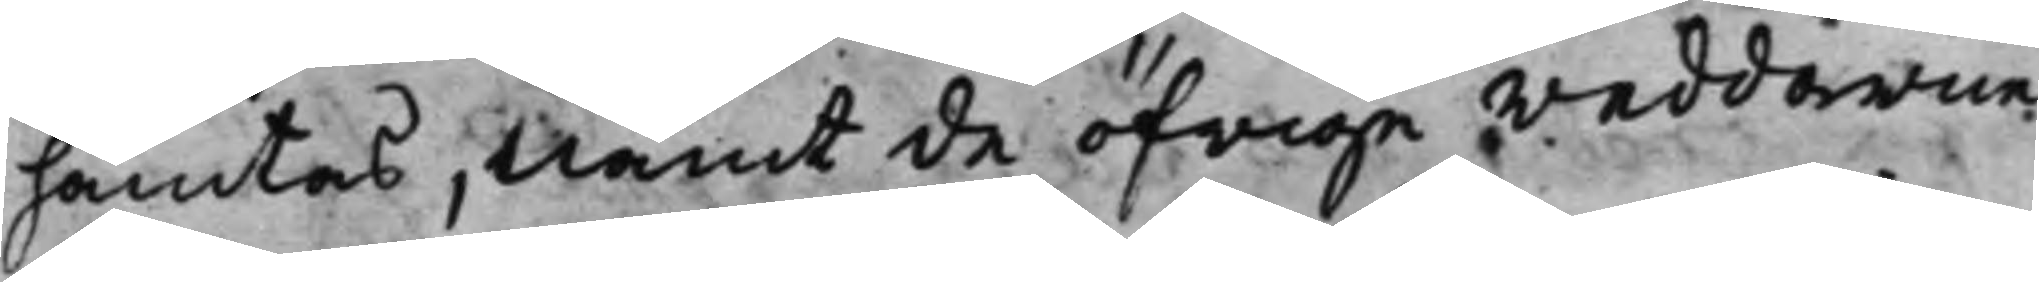hämtas, Nämt de öfrige reddarne
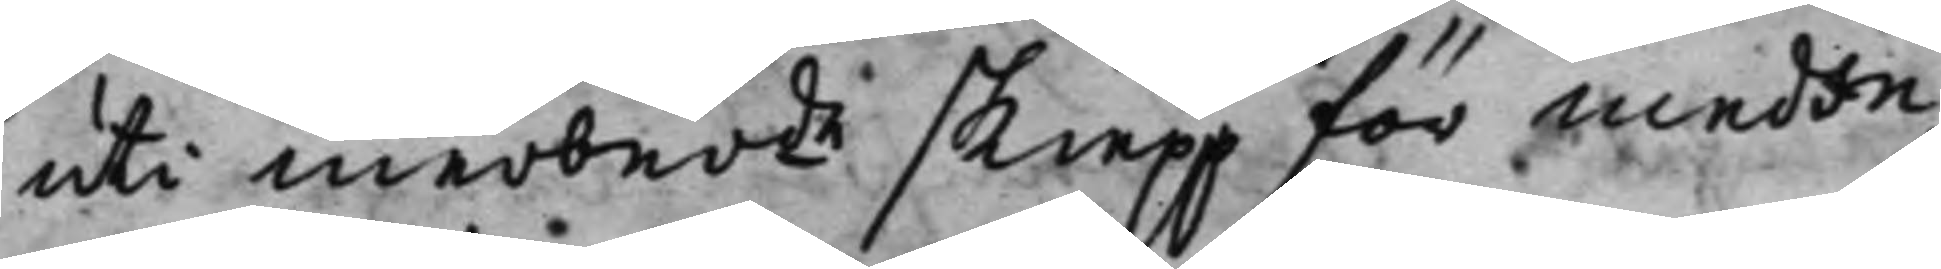uti merber.de skiepp för medin¬
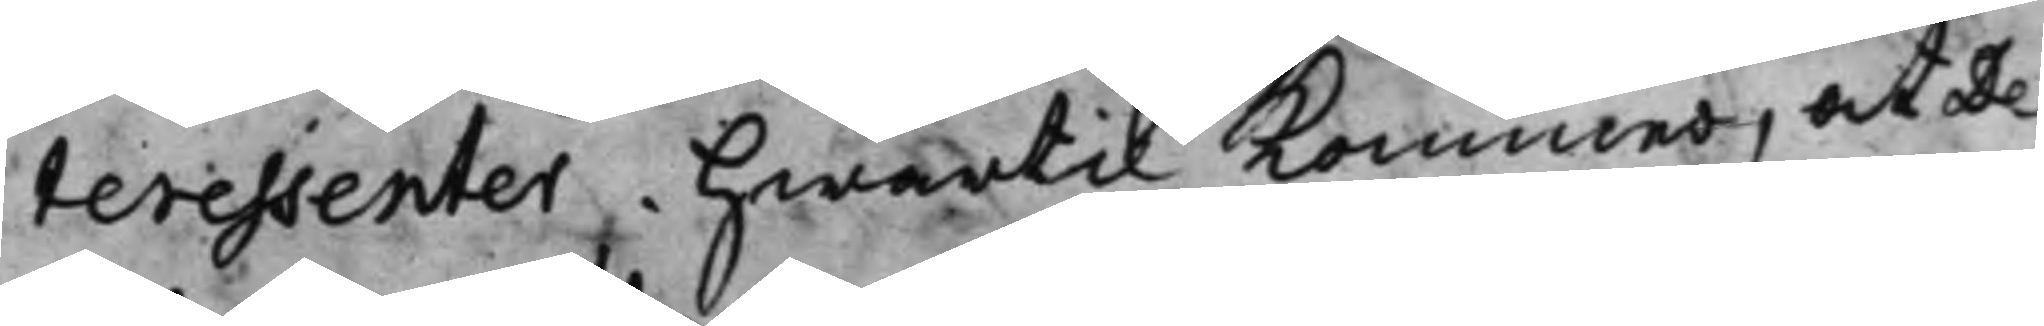teressenter. Hwartil kommer, at De¬
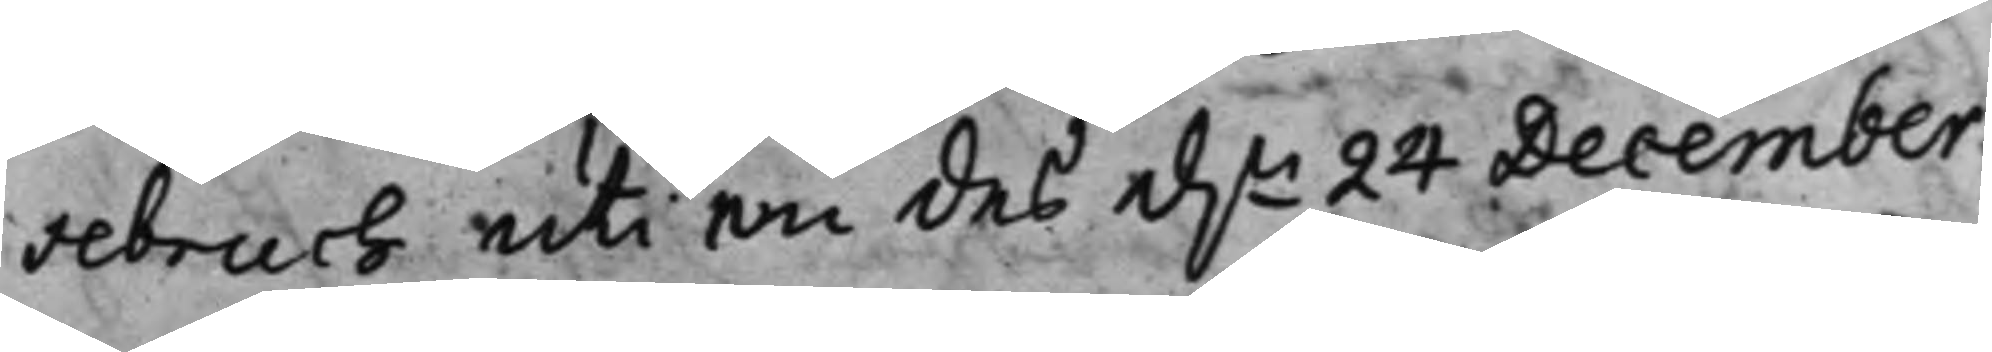sebruch uti en des d.n 24 December.
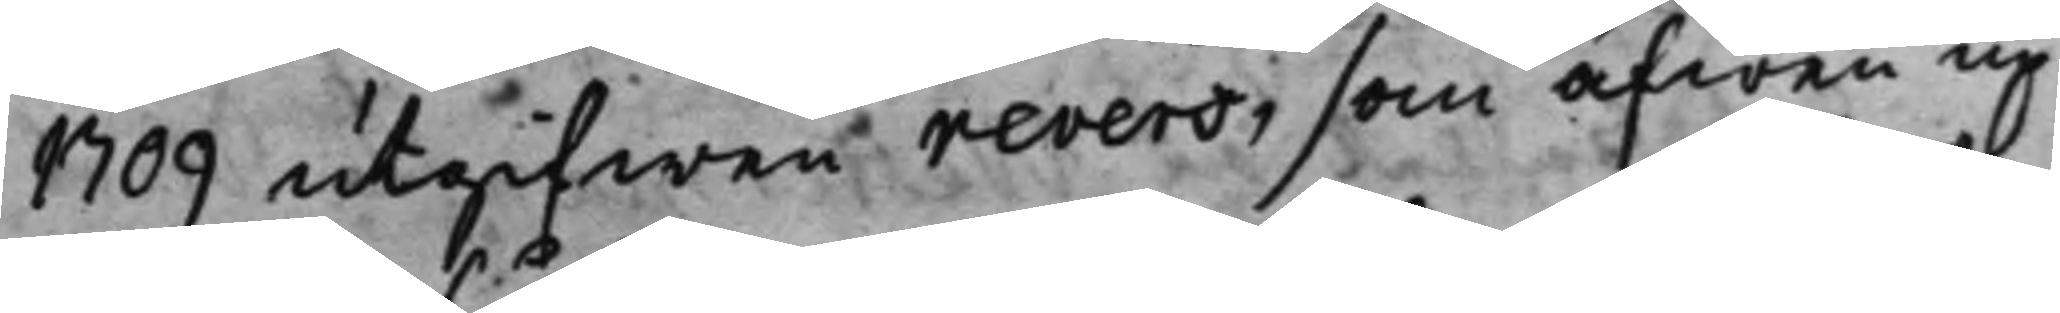1709 utgifwen revers, som äfwen up¬
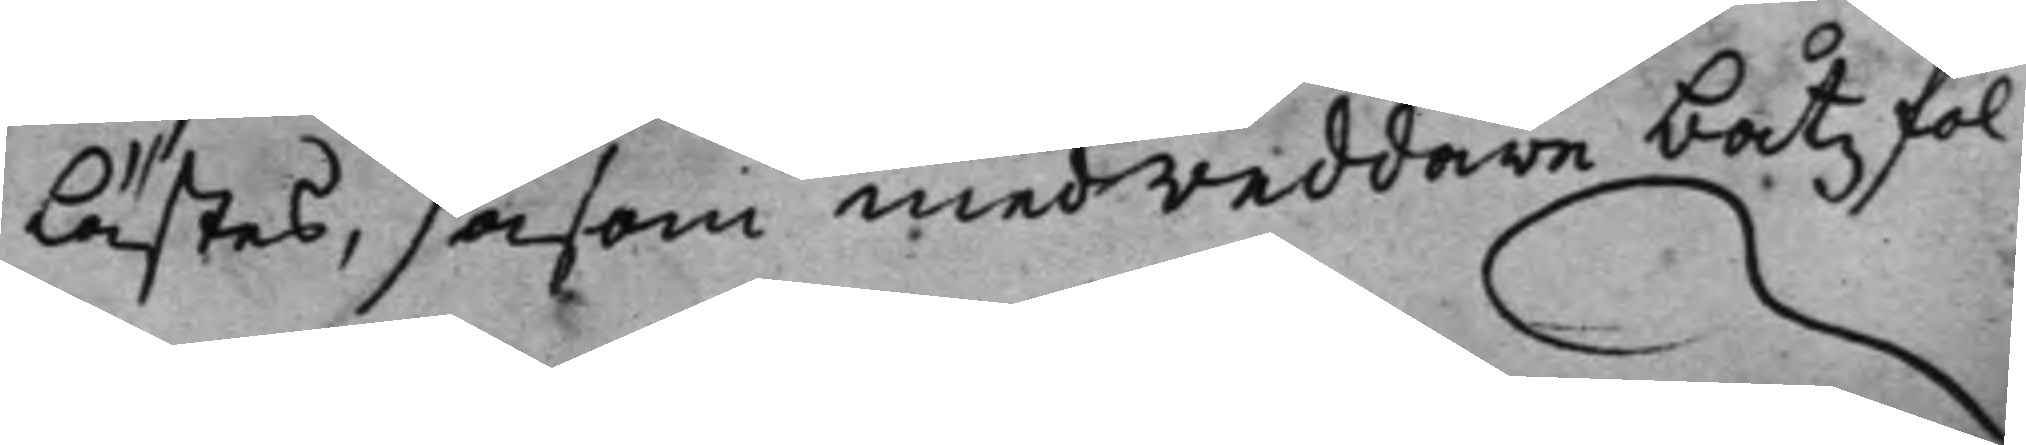lästes, såsom medreddare båtzfol¬
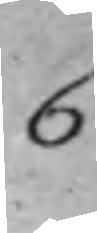6.
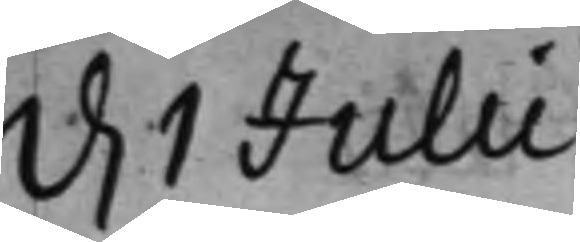d. 1 Julii.
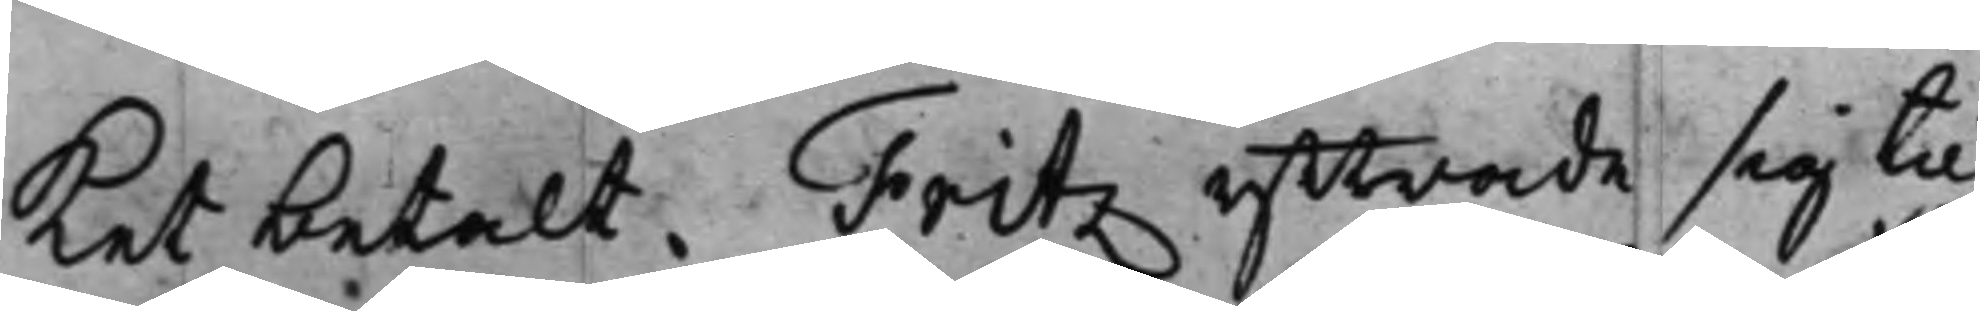ket betalt. Fritz yttrade sig till
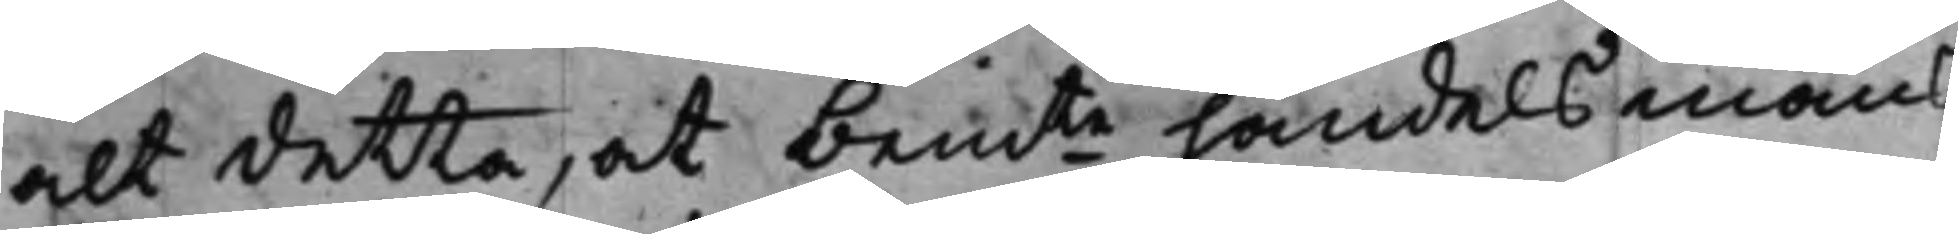alt detta, at bem.te handelsmäns
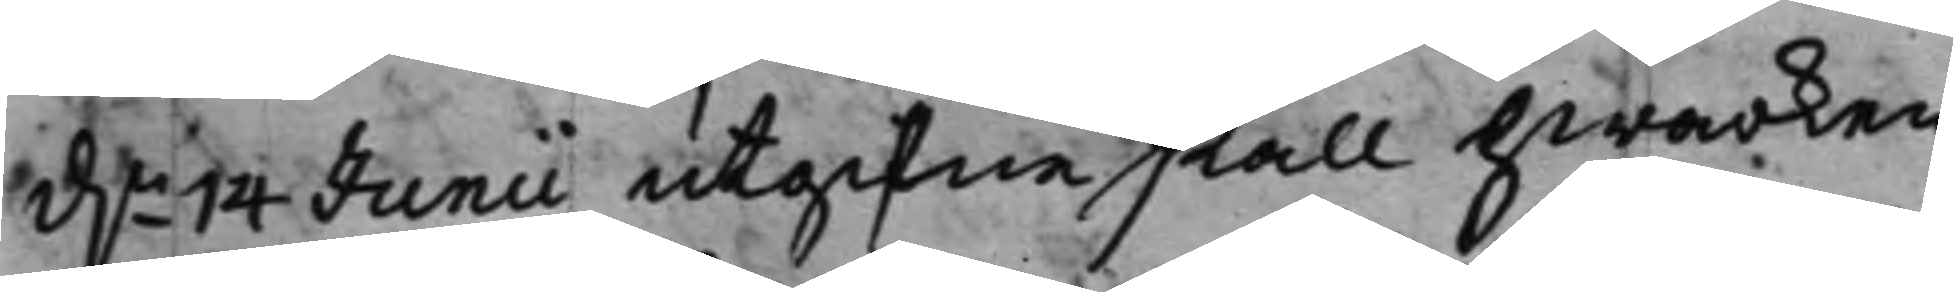d.n 14 Junii utgifne skall hwarken
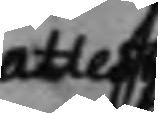attest
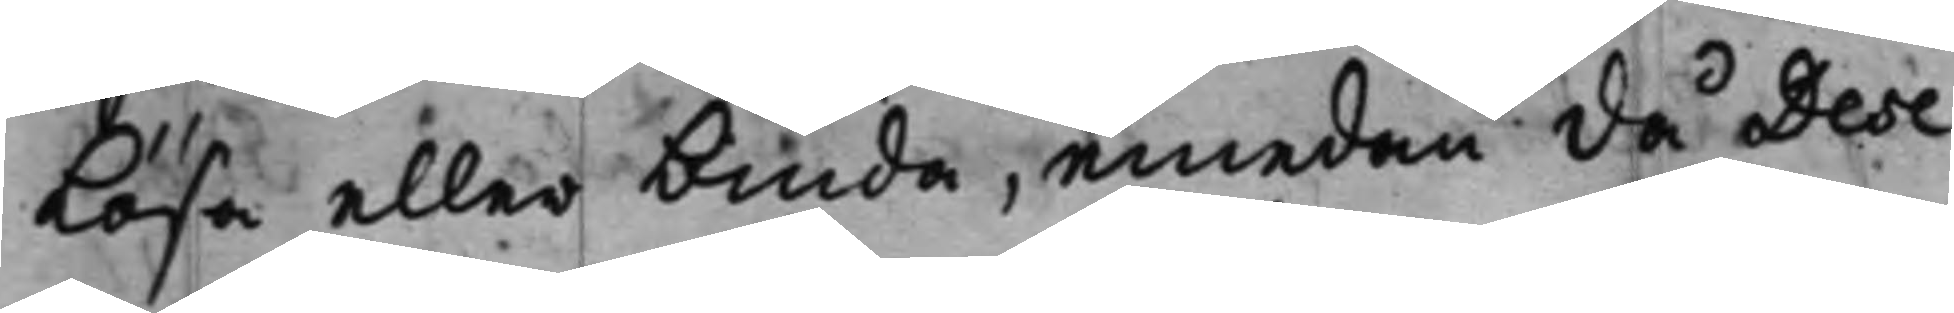lösa eller binda, emedan då Dese¬
